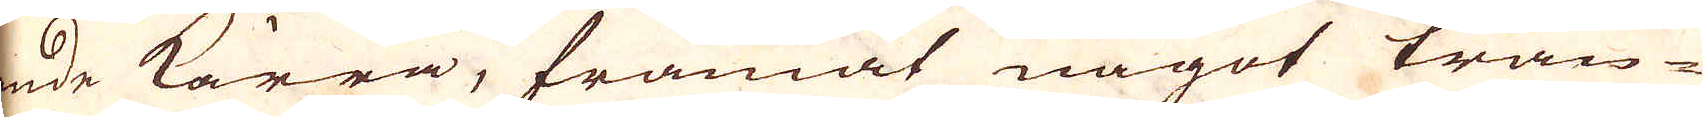ende kärra, framåt något trän-
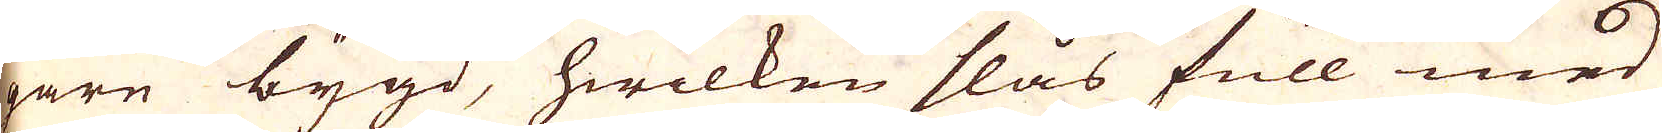gare bygd, hwilken slås full med
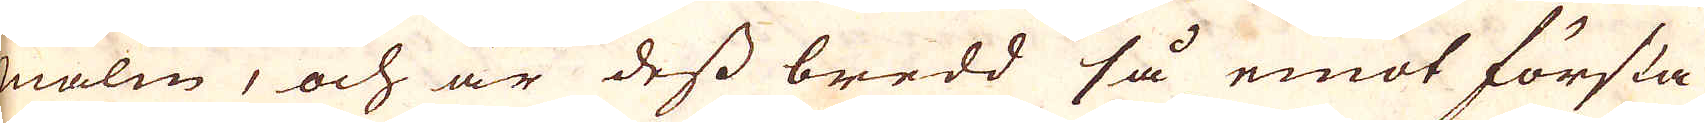malm, och är dess bredd så emot första
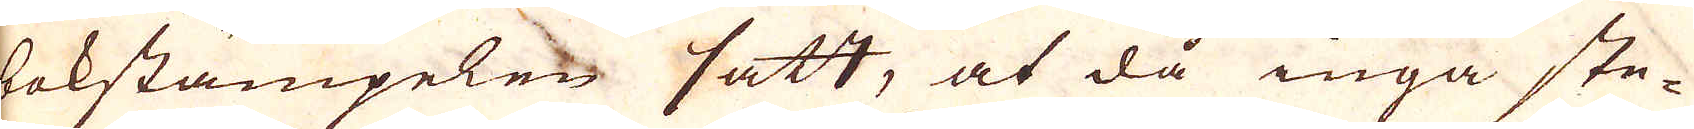bokstämpelen satt, at då inga ste-
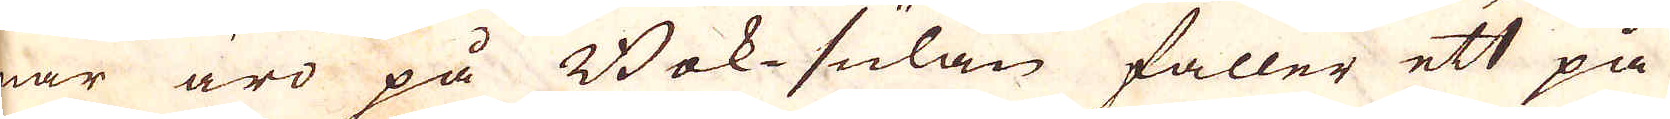nar äro på Bok-sulan faller ett på
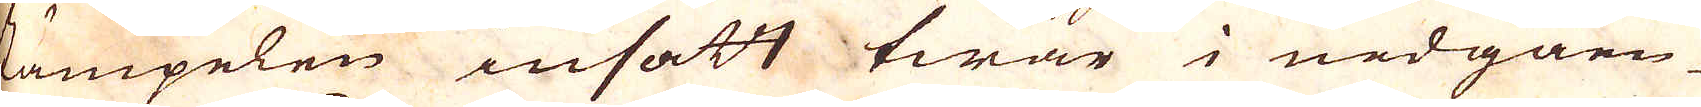stämpelen insatt twär i nedgåen-
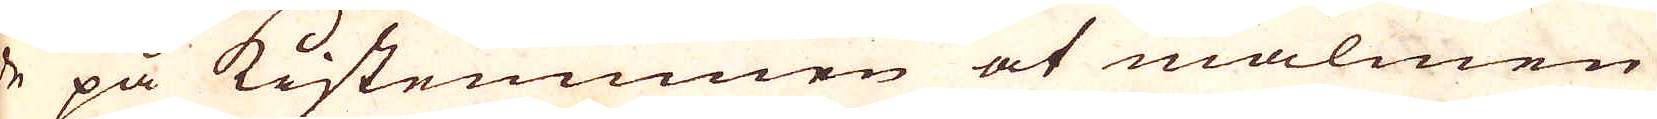de på Kistemunen at malmen
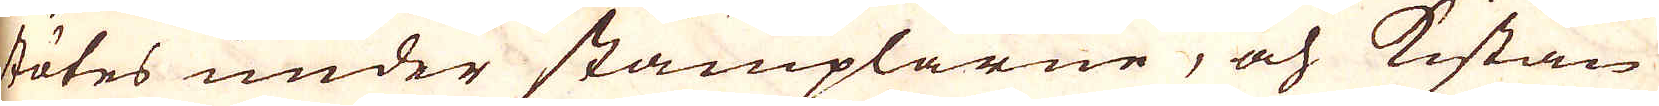stötes under stämplarne, och Kistan
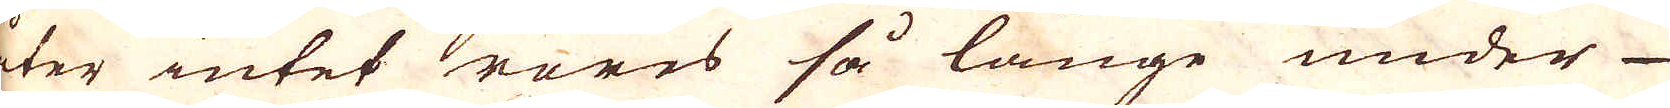åter intet röres så länge under-
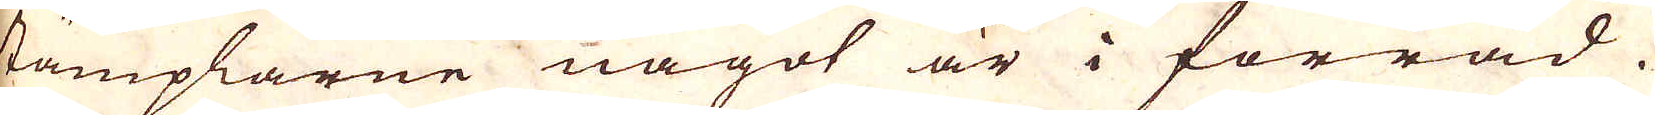stämplarne något är i förråd.
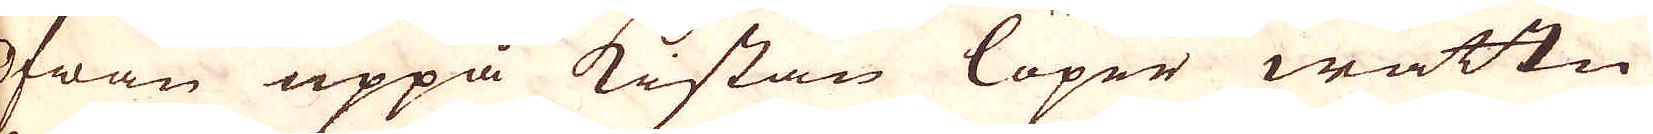Ofwan uppå kistan löper wattn
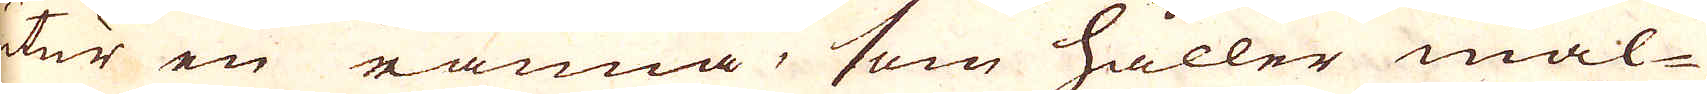utur en ränna, som håller mal-
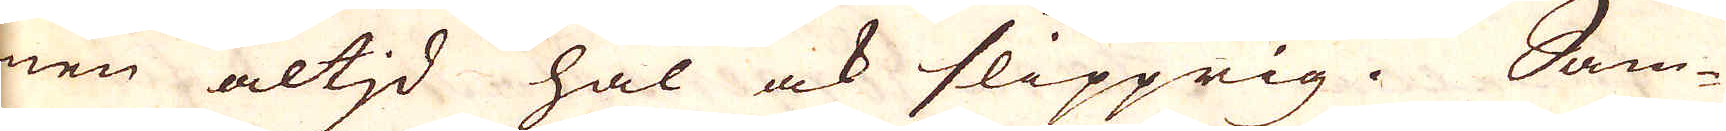men altid hal ock slipprig. Sam-
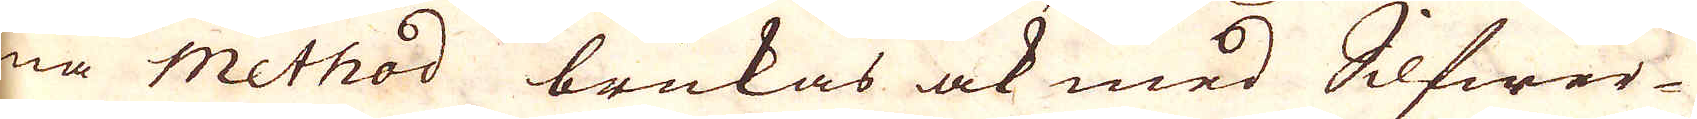ma Method brukas ock med Silfwer-
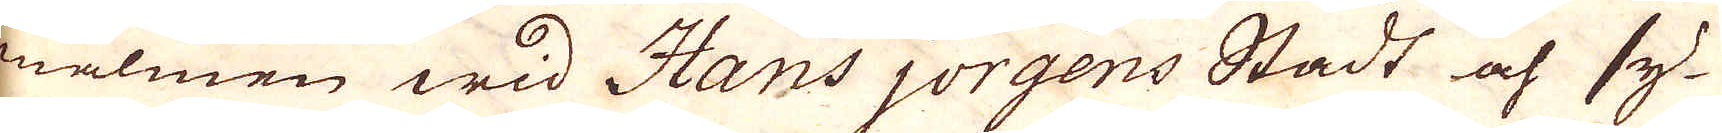malmen wid Hans jörgens Stadt och sy-
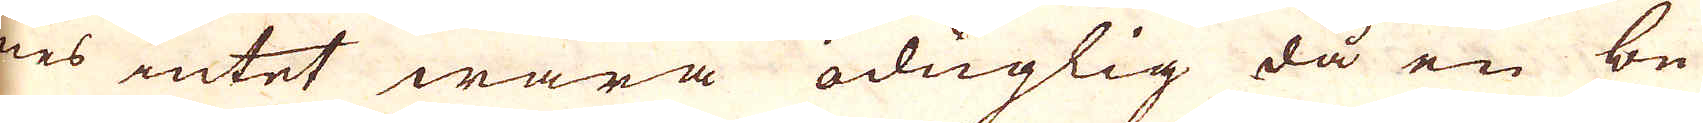nes intet wara oduglig då en be-
